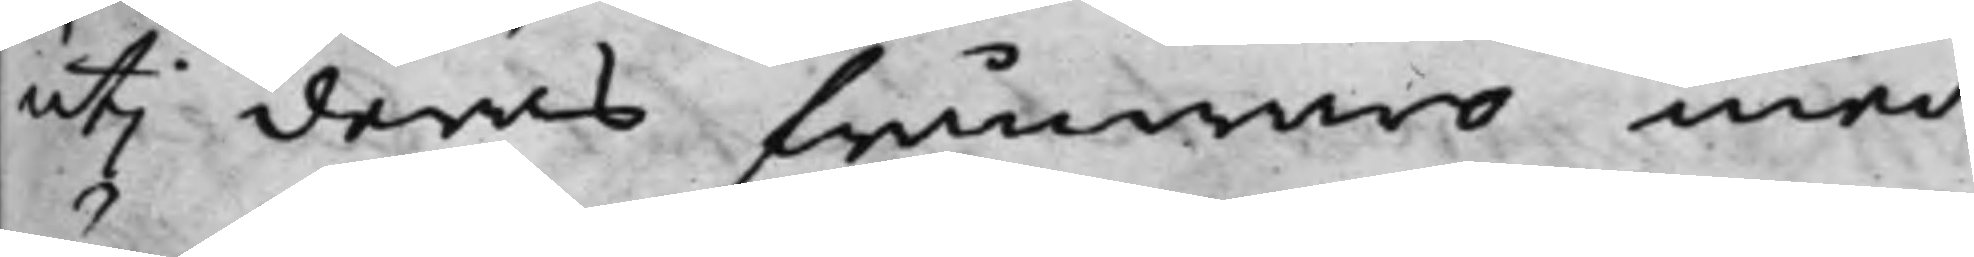uti deras frånwaro med
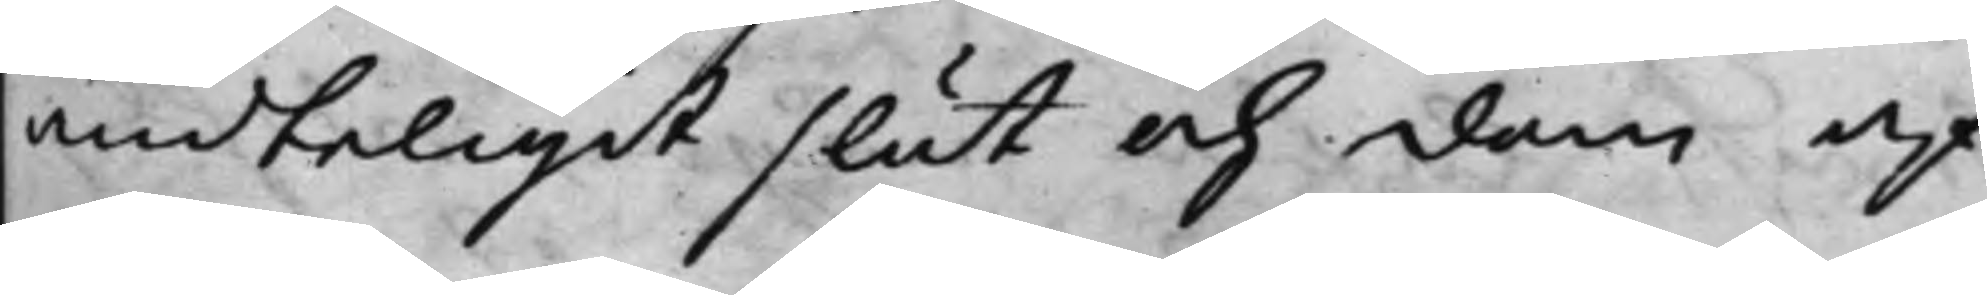ändteligit slut och dom af¬
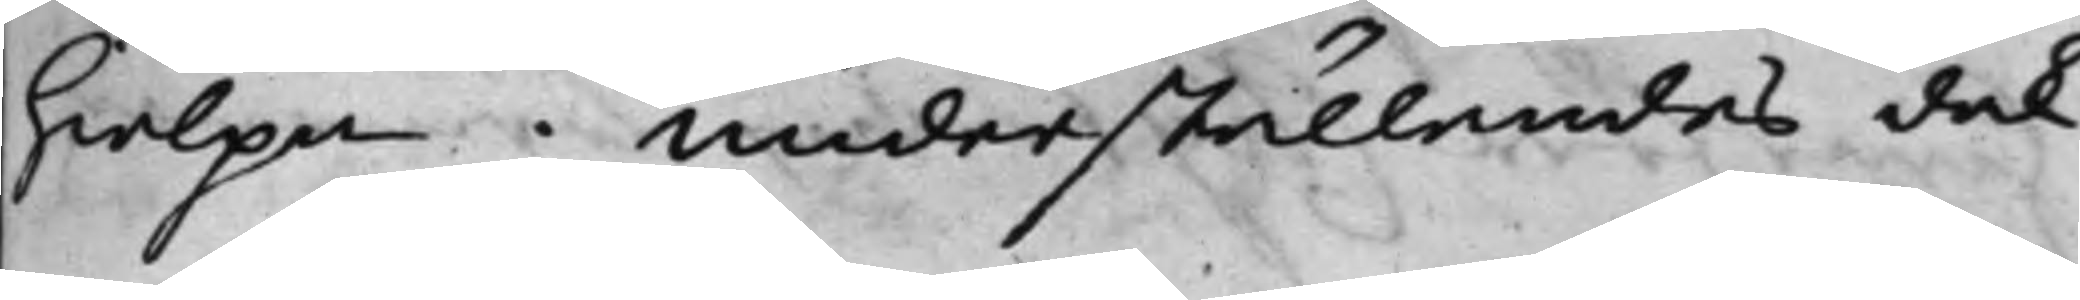hielpa; underställandes dock
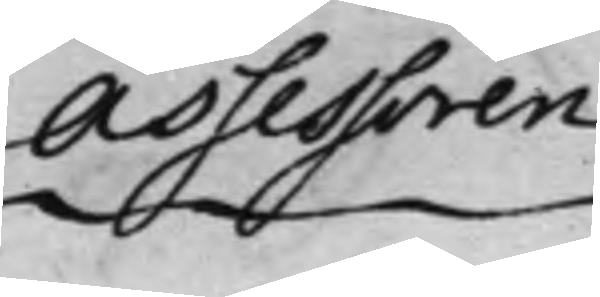Assessoren
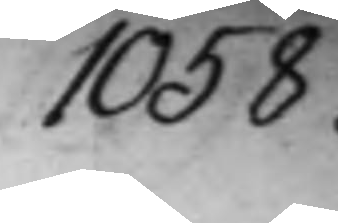1058.
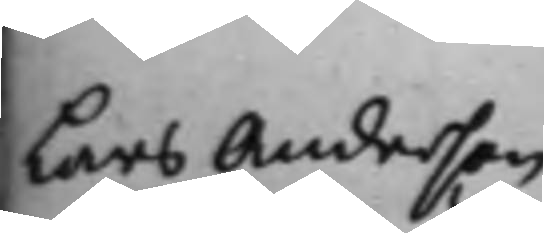Lars Anderson
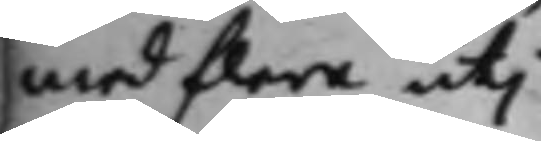med flera uti
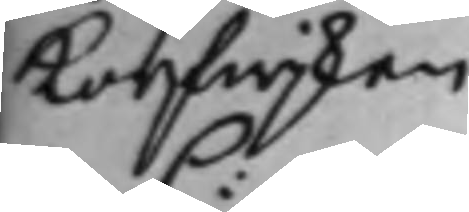Korfwijken
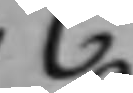C:
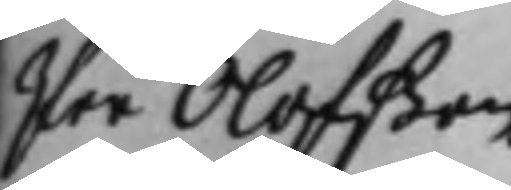Per Olofßon
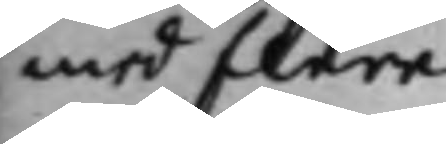med flera
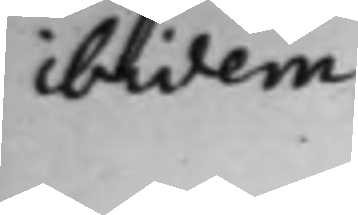ibidem.
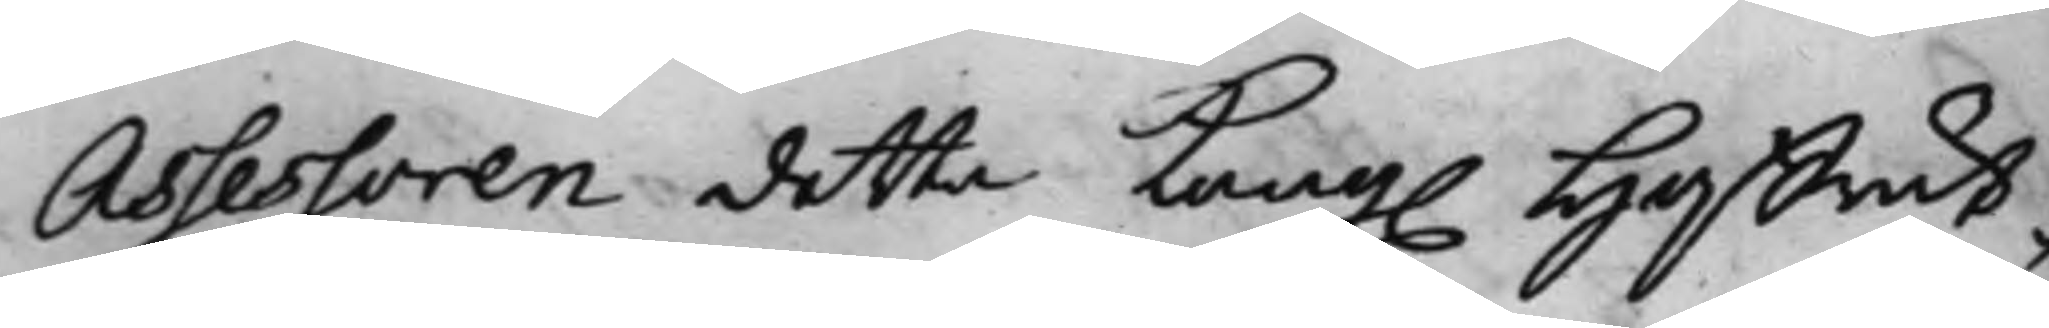Assessoren detta Kong. Hoffrät¬
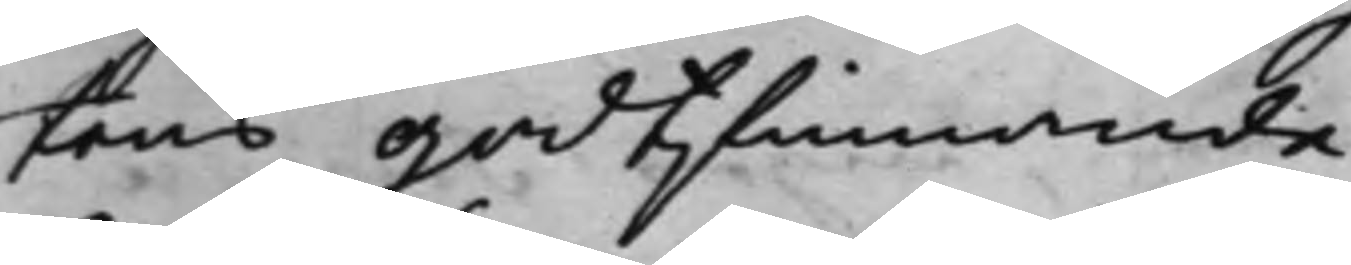tens godtfinnande.
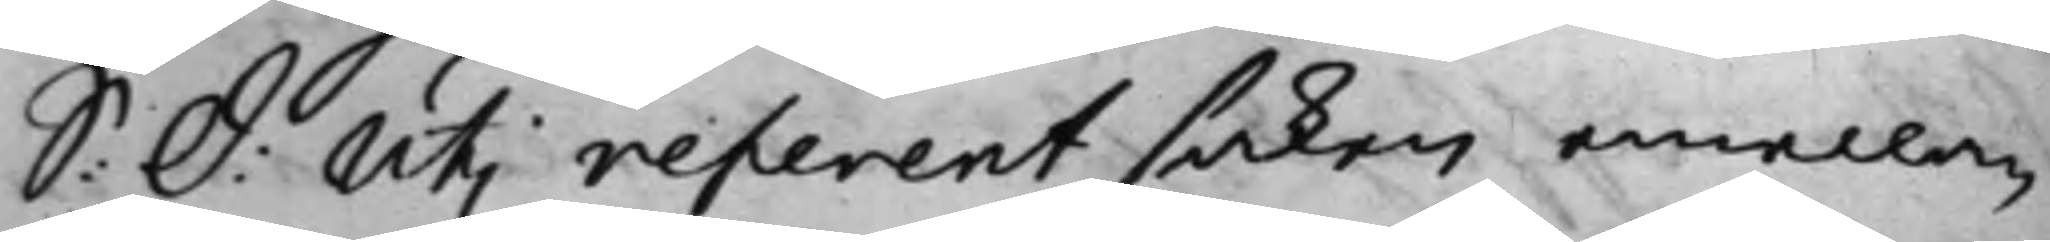S: d: Uti referent saken emellan
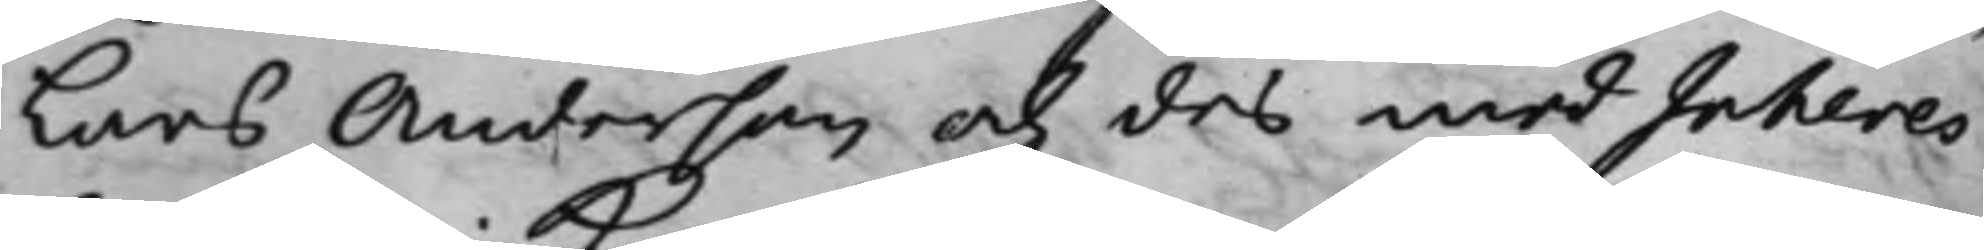Lars Anderson och des medInteres¬
